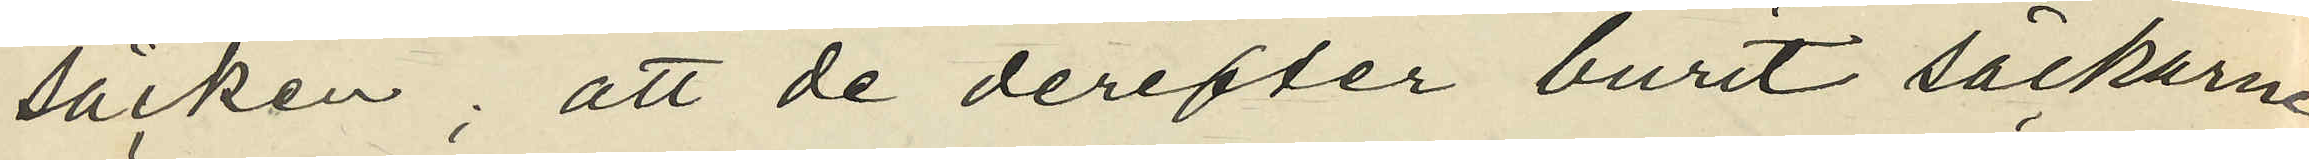säcken; att de derefter burit säckarne
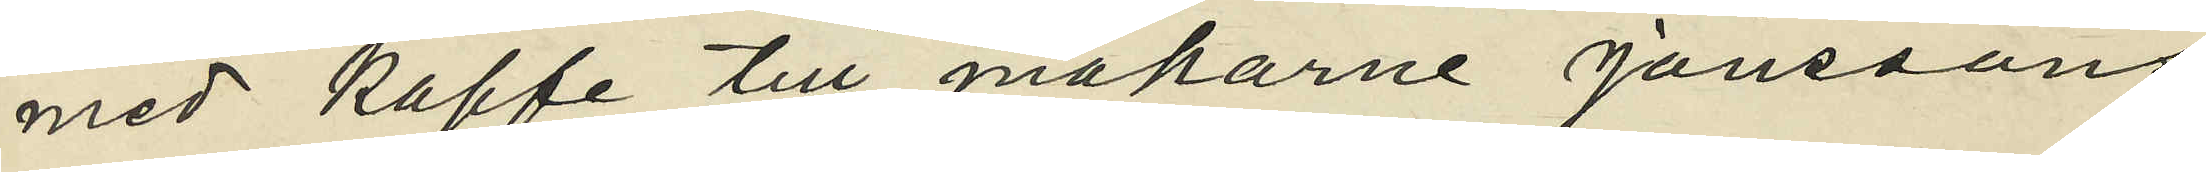med kaffe till makarne Jönssons
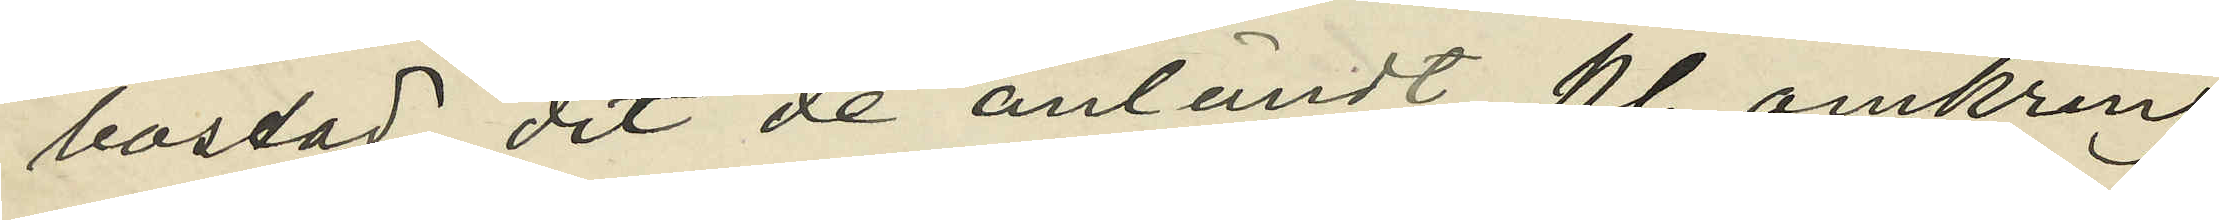bostad, dit de anländt kl. omkring
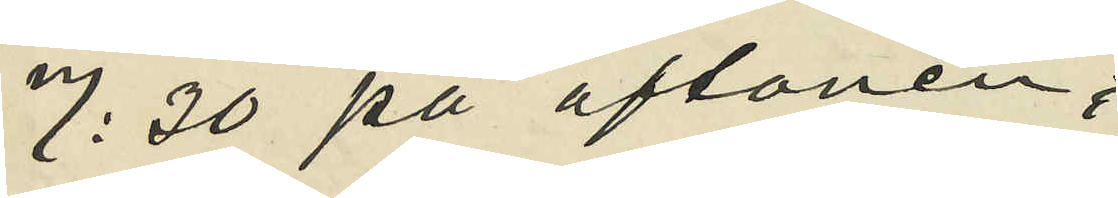7:30 på aftonen;
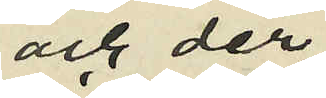och der
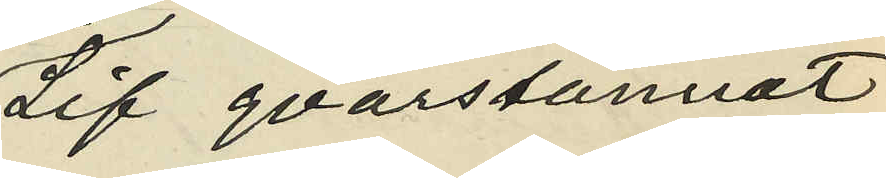Lif qvarstannat
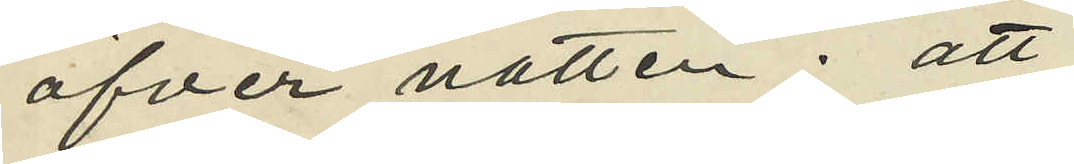öfver natten; att
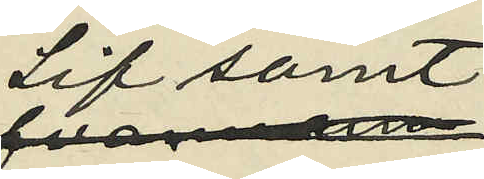Lif samt
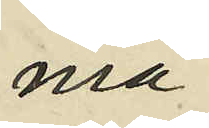ma¬
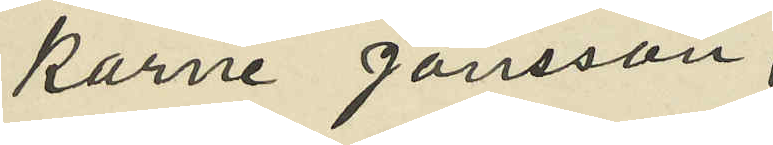karne Jönsson,
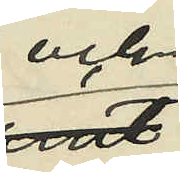och
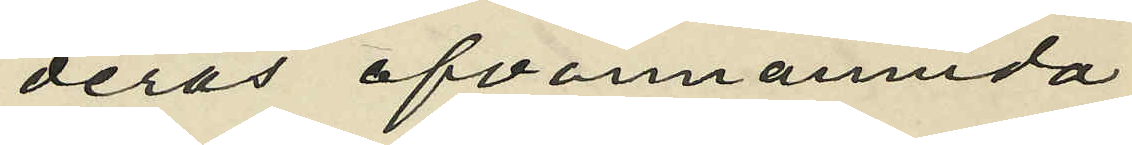deras ofvannämnda
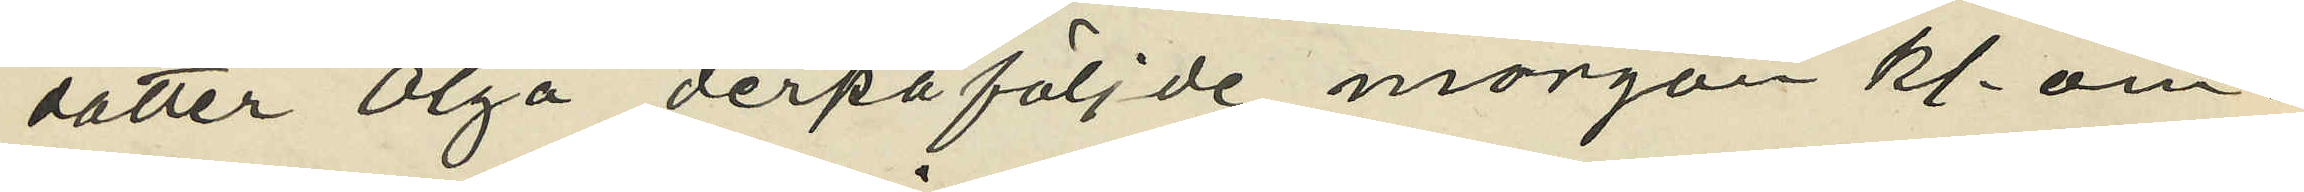dotter Olga derpåföljde morgon kl. om¬
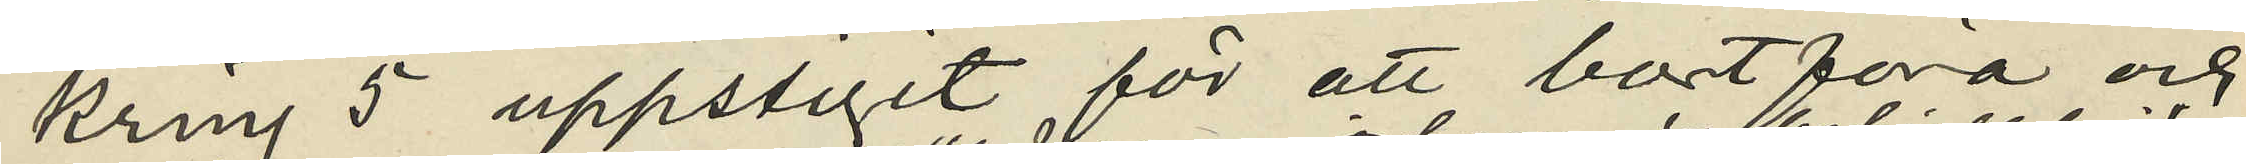kring 5 uppstigit för att bortföra och
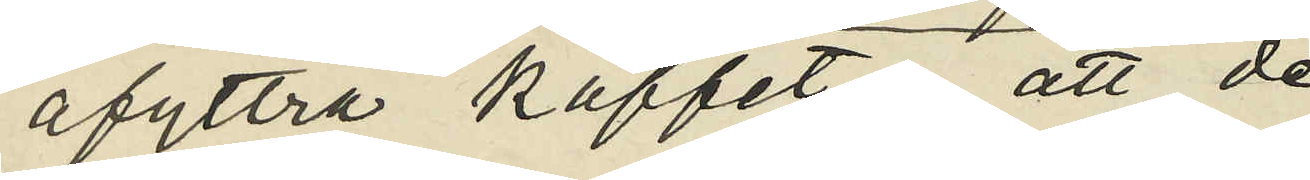afyttra kaffet; att de
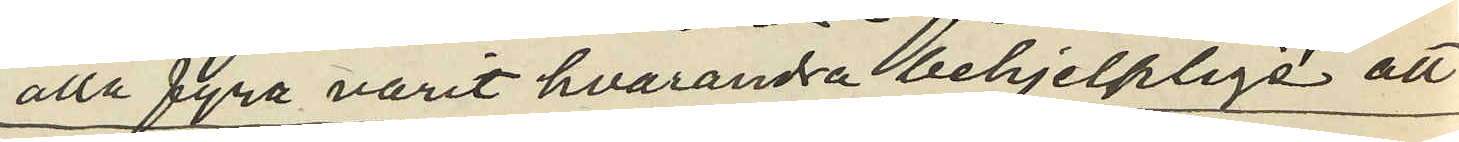alla fyra varit hvarandra behjelplige att
